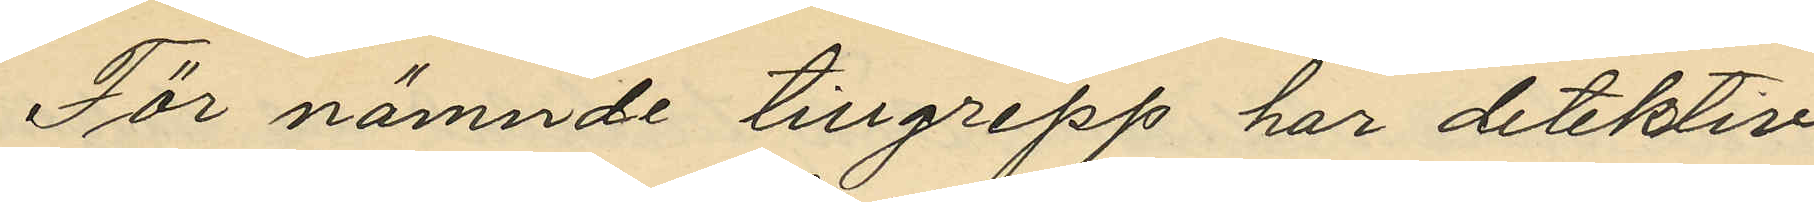För nämnde tillgrepp har detektiv¬
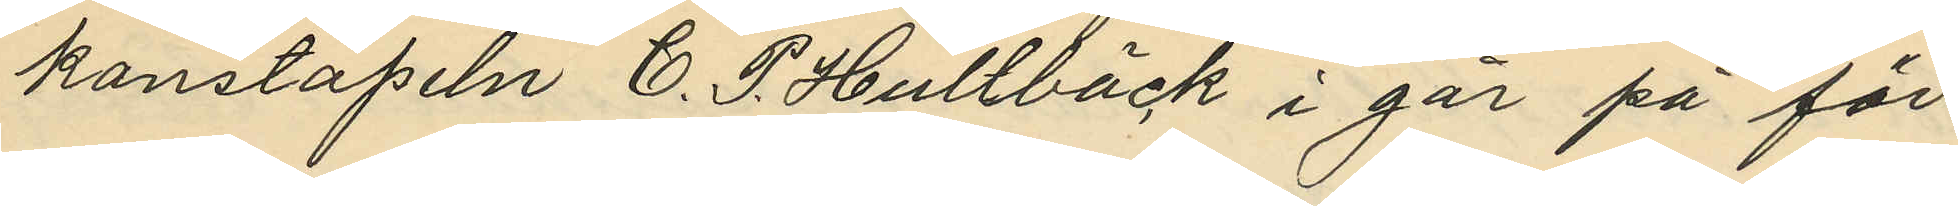konstapeln C. P. Hultbäck i går på för¬
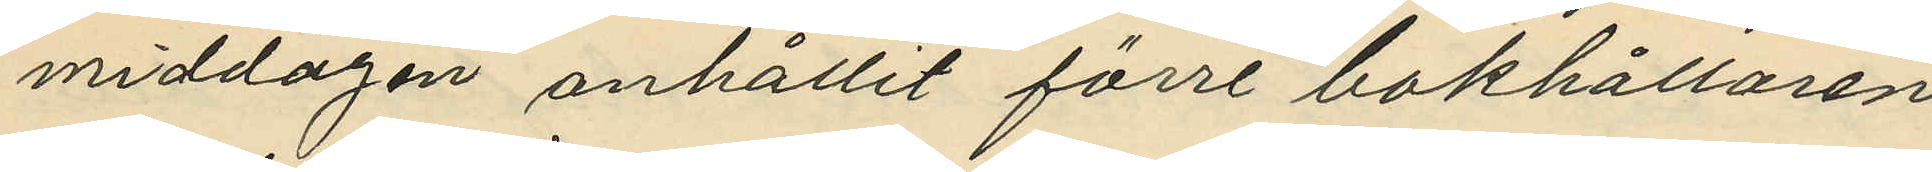middagen anhållit förre bokhållaren
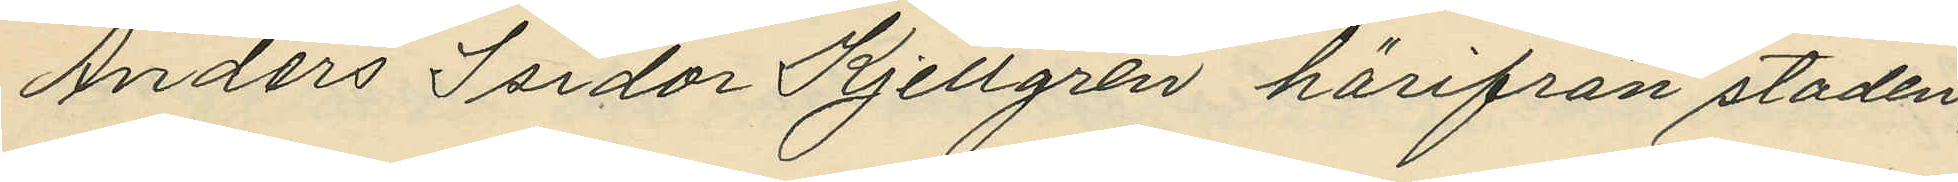Anders Isidor Kjellgren härifrån staden,
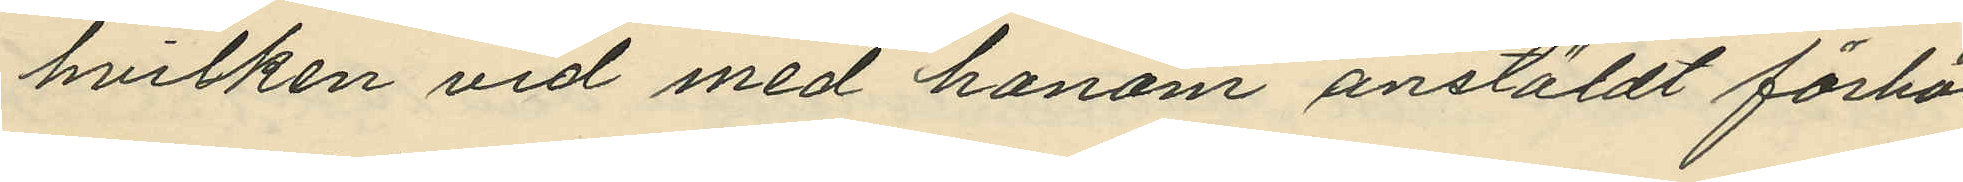hvilken vid med honom anstäldt förhör
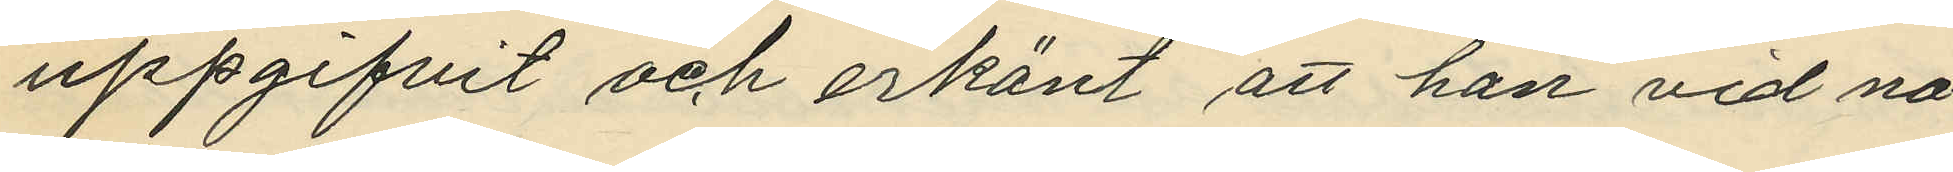uppgifvit och erkänt att han vid nå¬
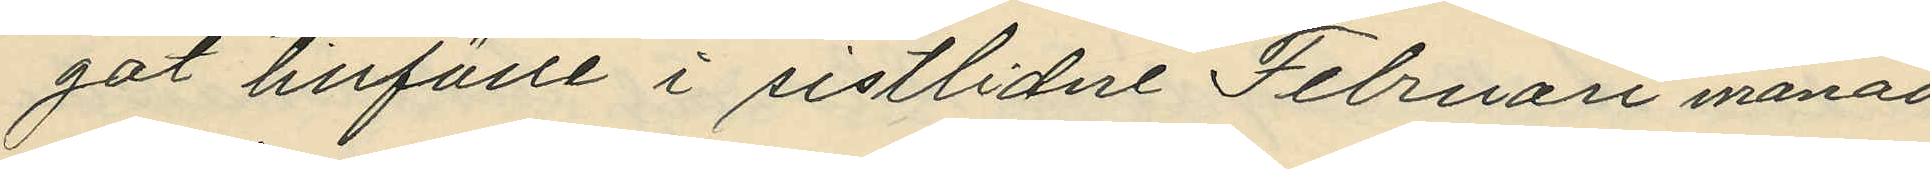got tillfälle i sistlidne Februari månad
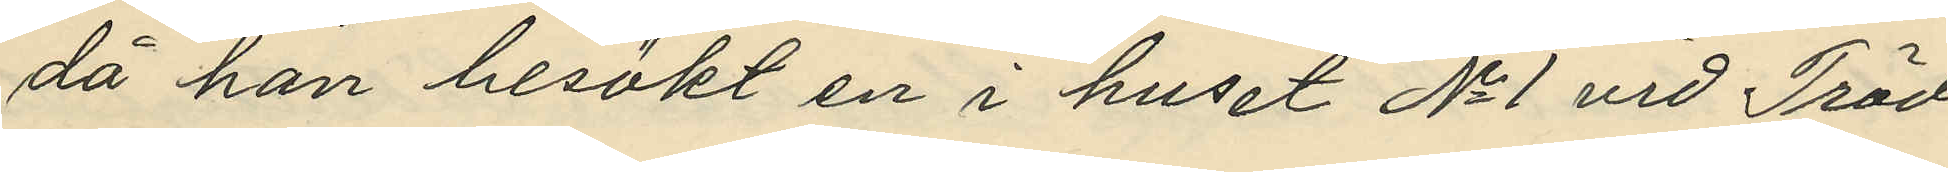då han besökt en i huset No 1 vid Träd¬
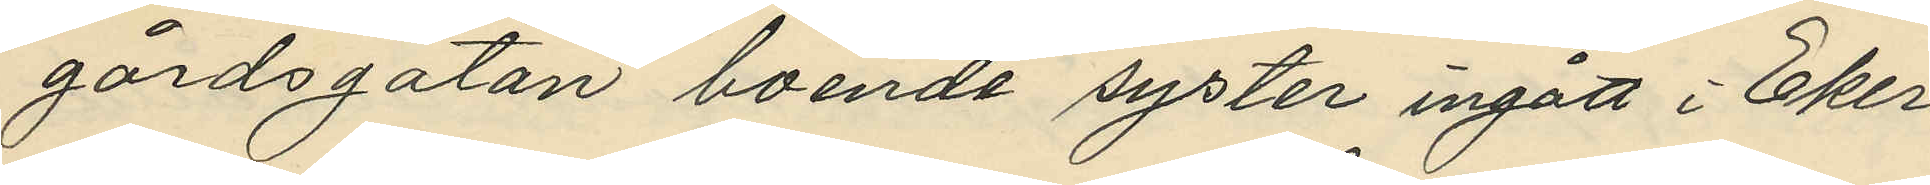gårdsgatan boende syster ingått i Eker¬
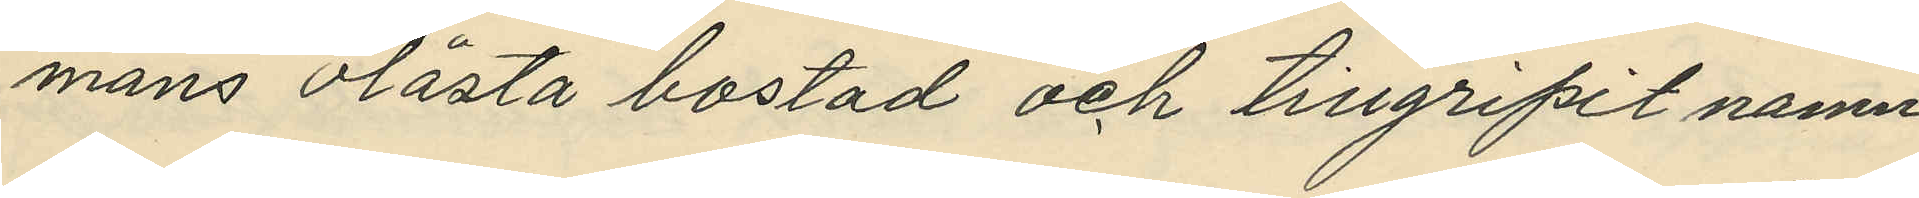mans olåsta bostad och tillgripit namn¬
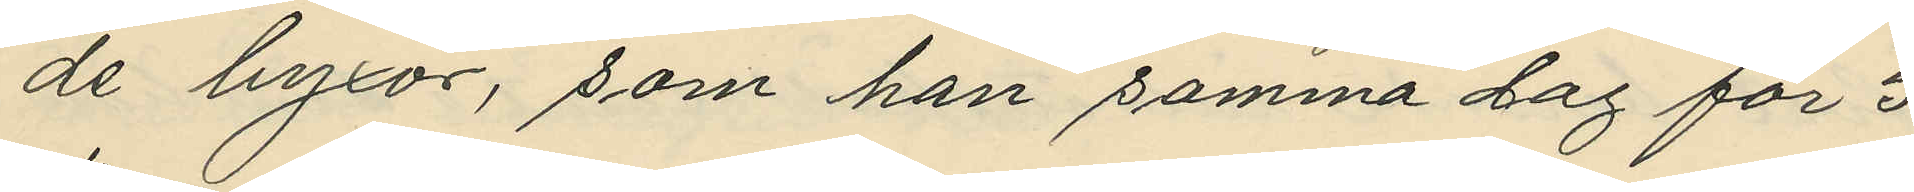de byxor, som han samma dag för 5
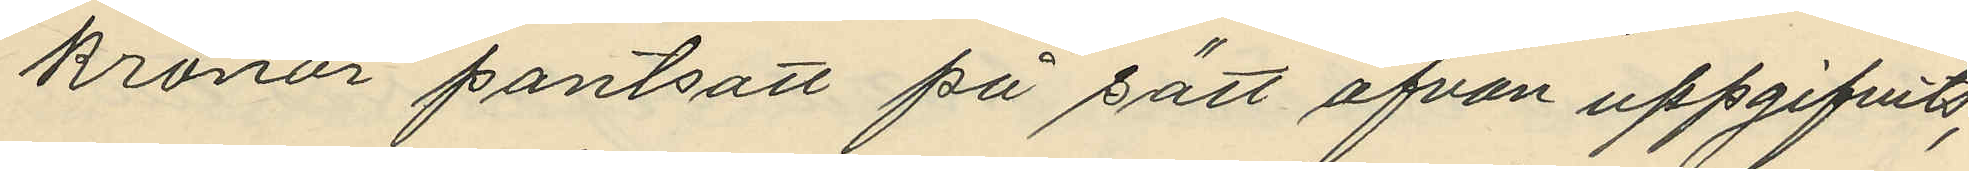kronor pantsatt på sätt ofvan uppgifvits;
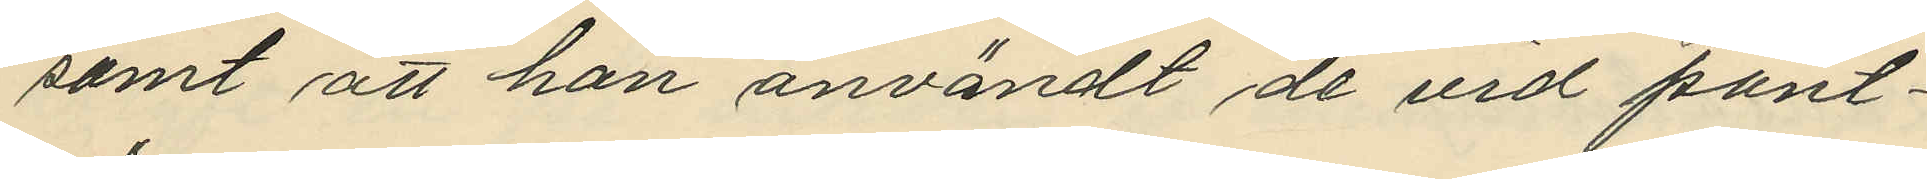samt att han användt de vid pant¬
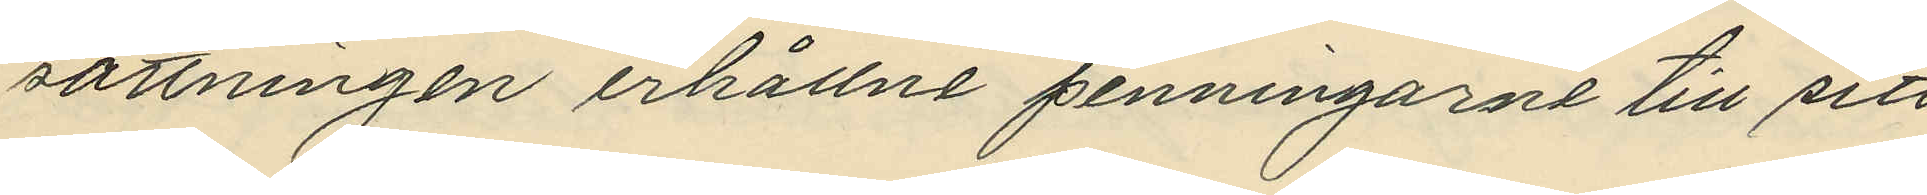sättningen erhållne penningarne till sitt
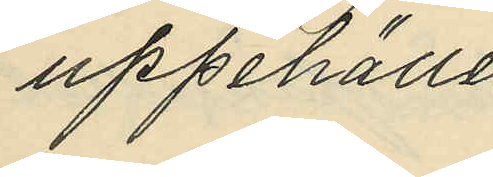uppehälle.
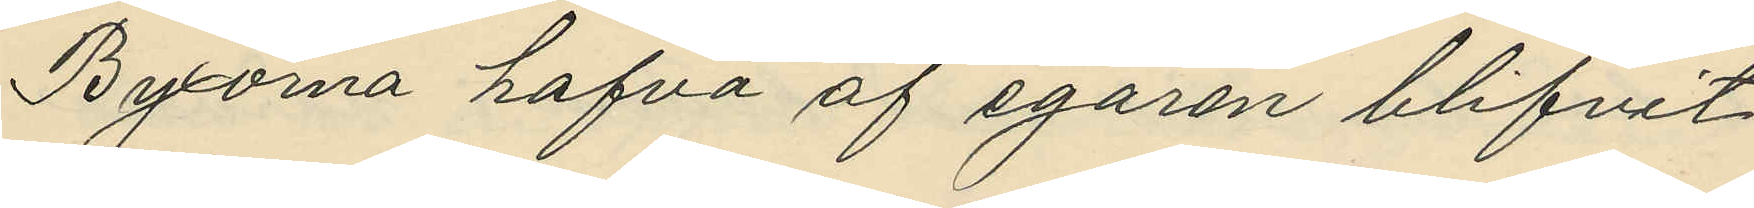Byxorna hafva af egaren blifvit
